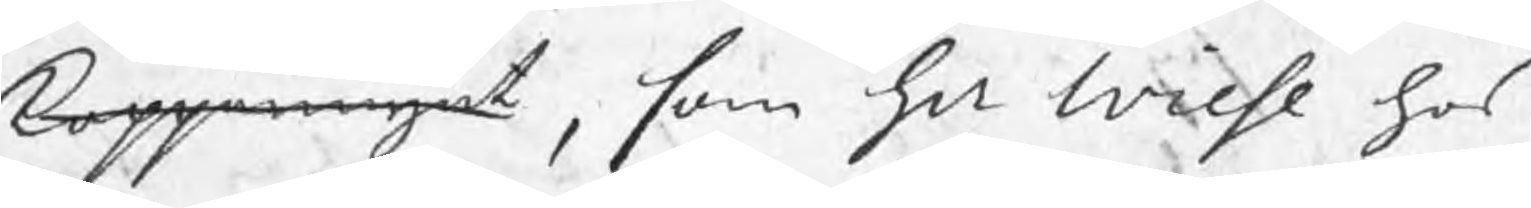kopparmynt, som Hr Wiese hos
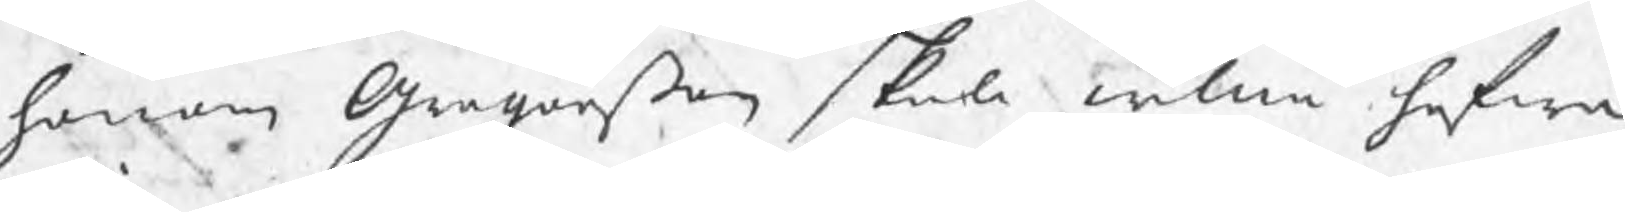honom Gregorßon skall willia hafwa
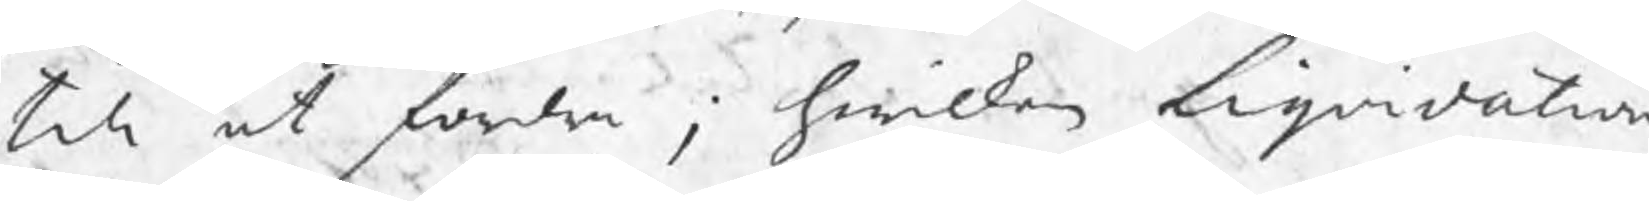till at fordra ; hwilken Liqvidation
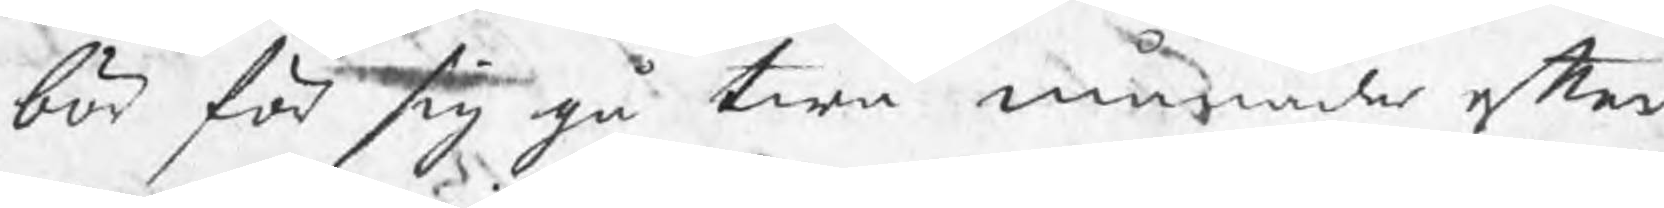bör för sig gå twå månader efter
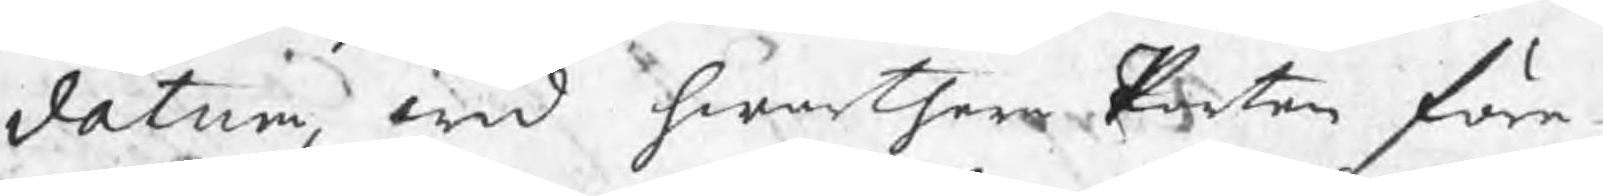datum, wid hwartera Parten före¬
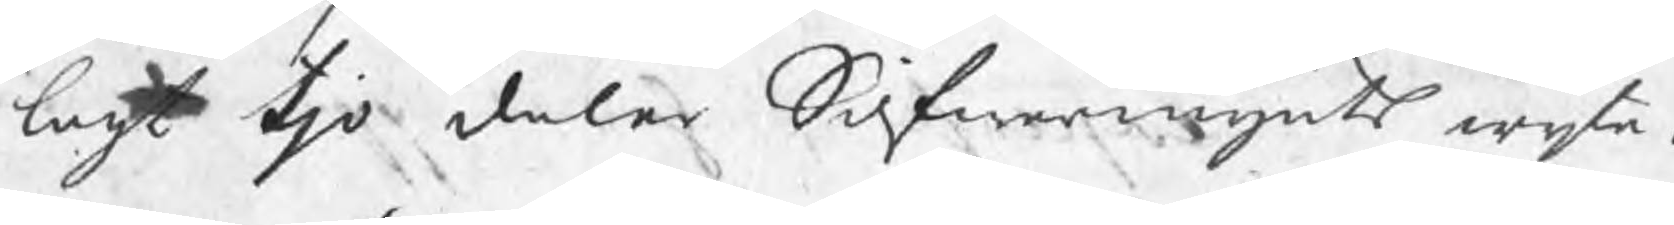lagt tjo daler Silfwermynts wijte.
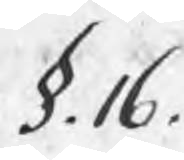§. 16.
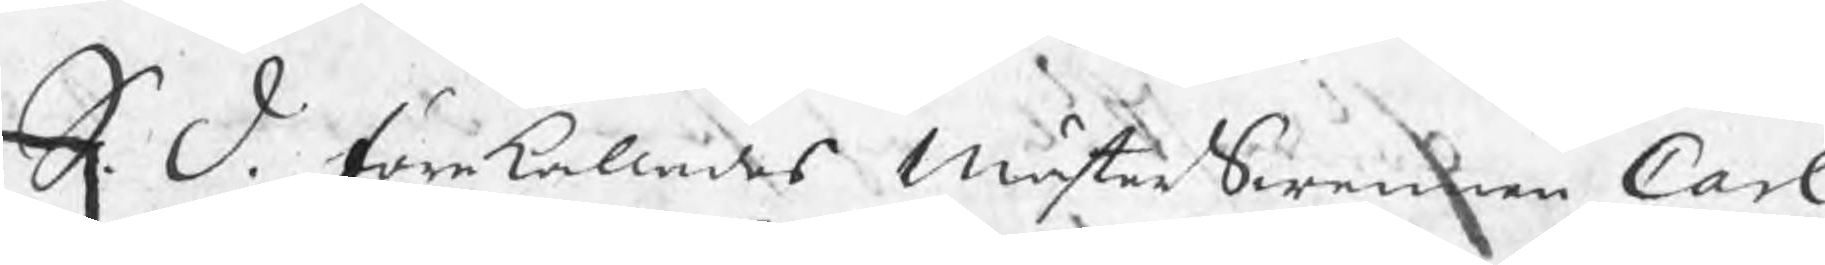S. D. förekallades MästerSwennen Carl
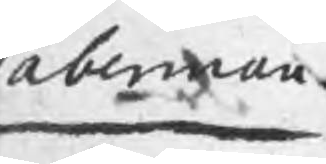Taberman
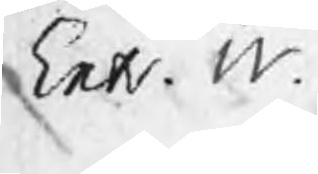Extr. W.
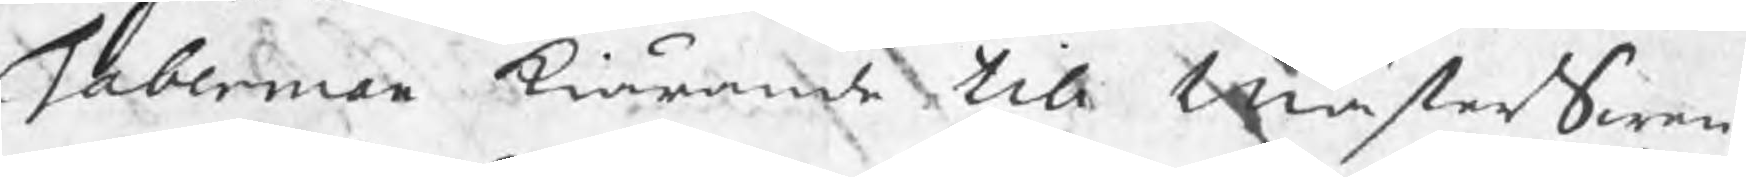Taberman kiärande till MästerSwen¬
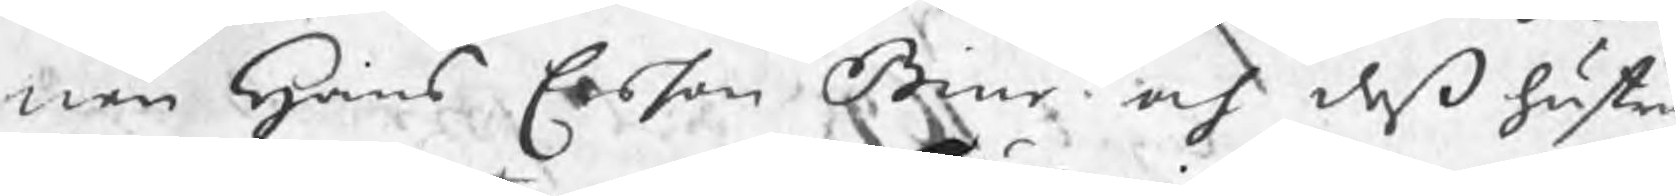nen Hans Ersson Biur och deß hustru
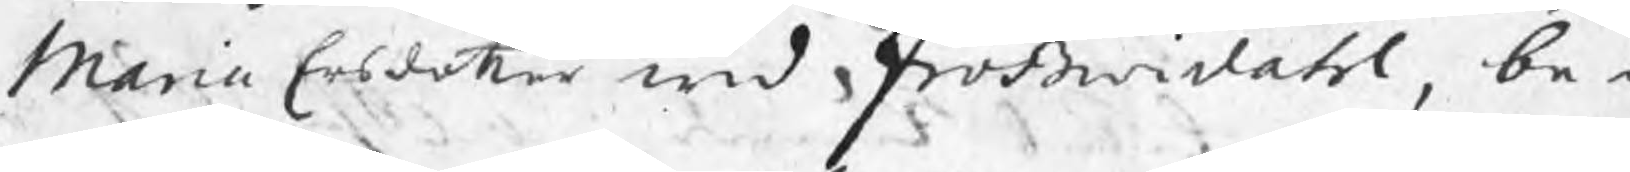Maria Ersdotter wid Frößwidahl, be¬
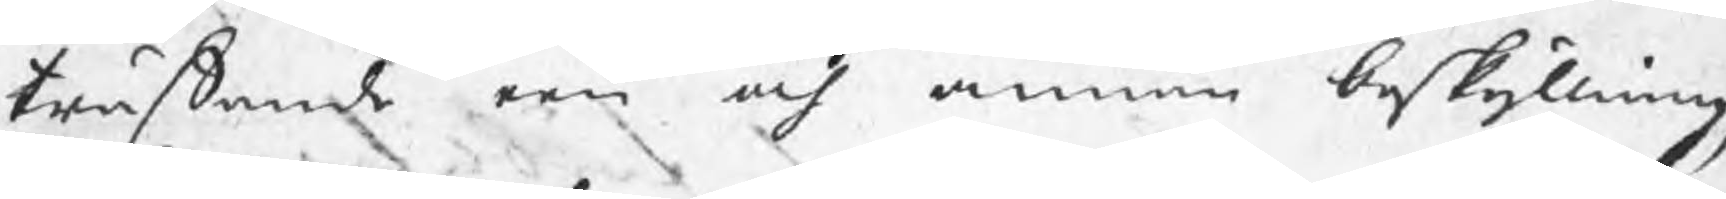träffande een och annan beskyllning,
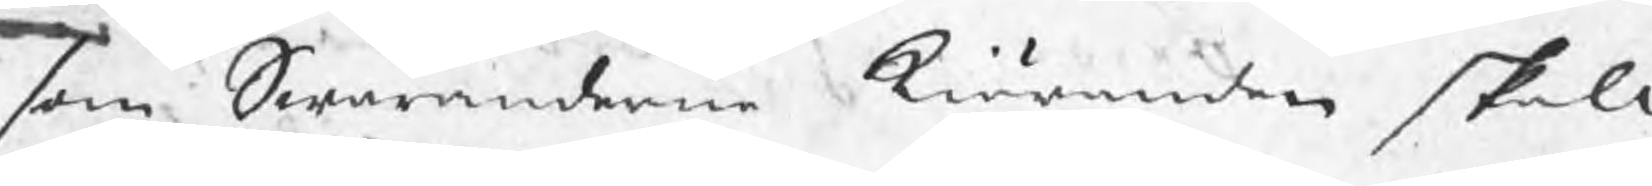som Swaranderne Kiäranden skola
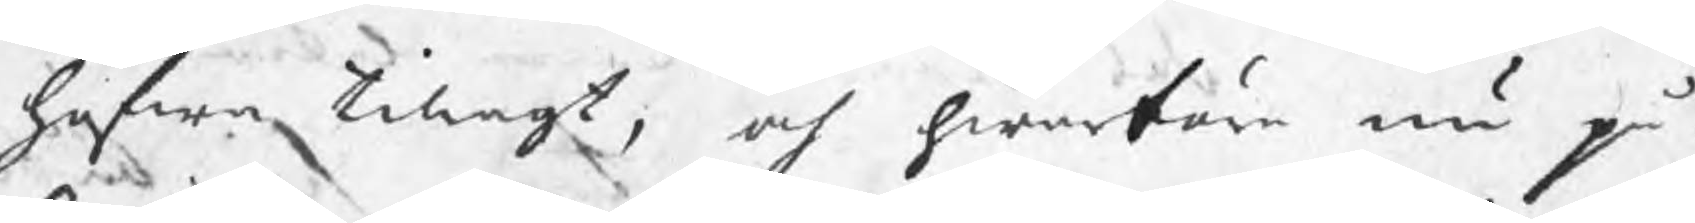hafwa tillagt, och hwarföre nu på¬
